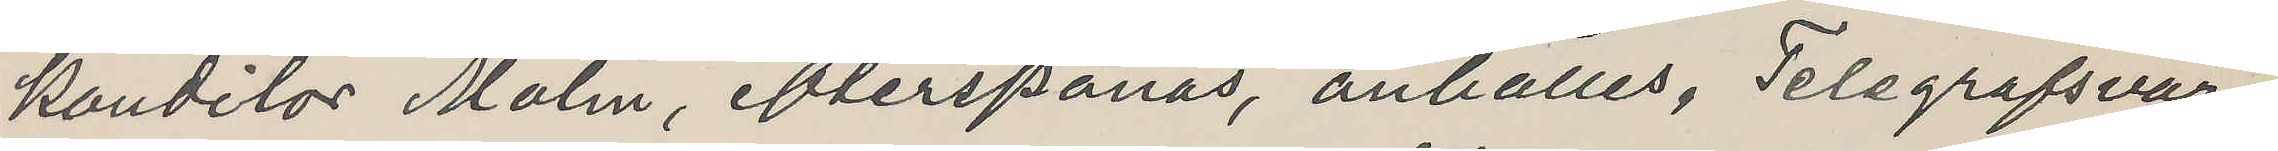konditor Molin, efterspanas, anhålles, Telsgrafsvar.
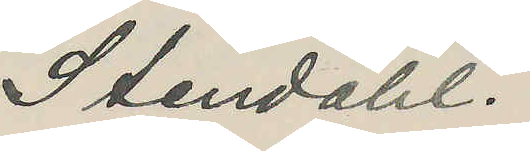Stendahl.
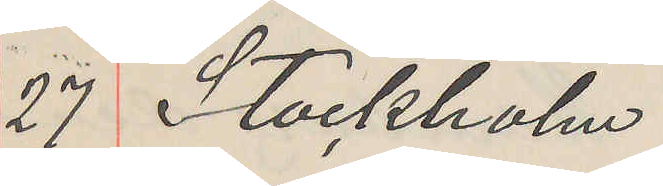27 Stockholm
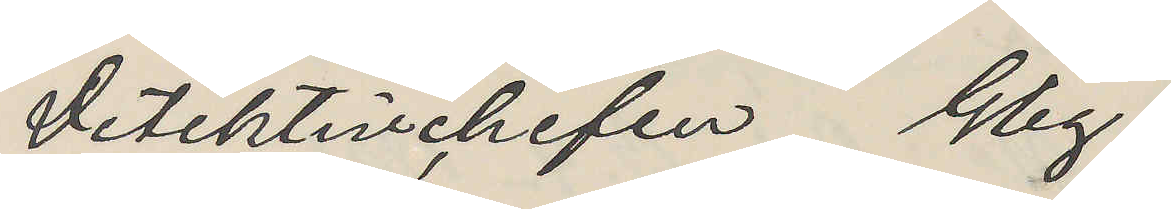Detektivchefen Gbg.
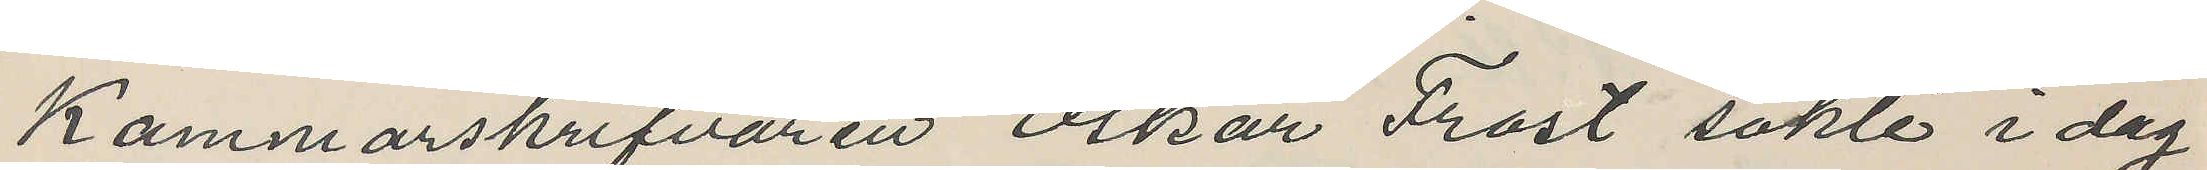Kammarskrifvaren Oskar Frost sökte i dag
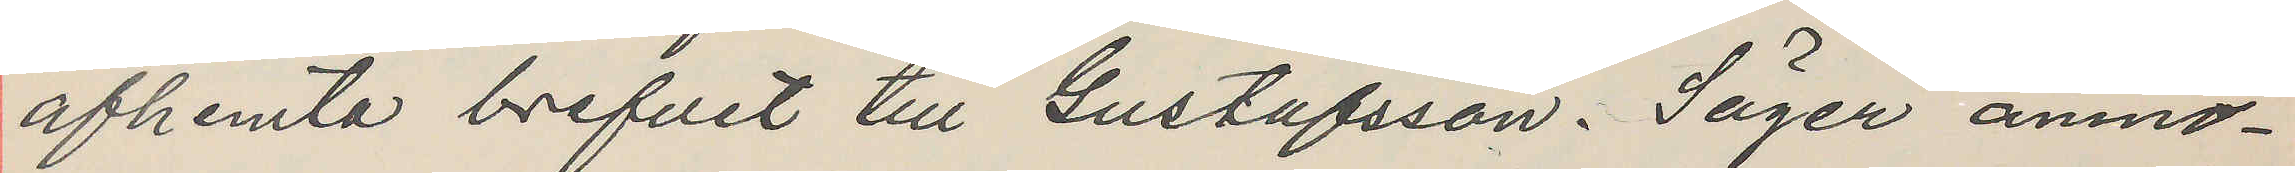afhemta brefvet till Gustafsson. Säger anmo¬
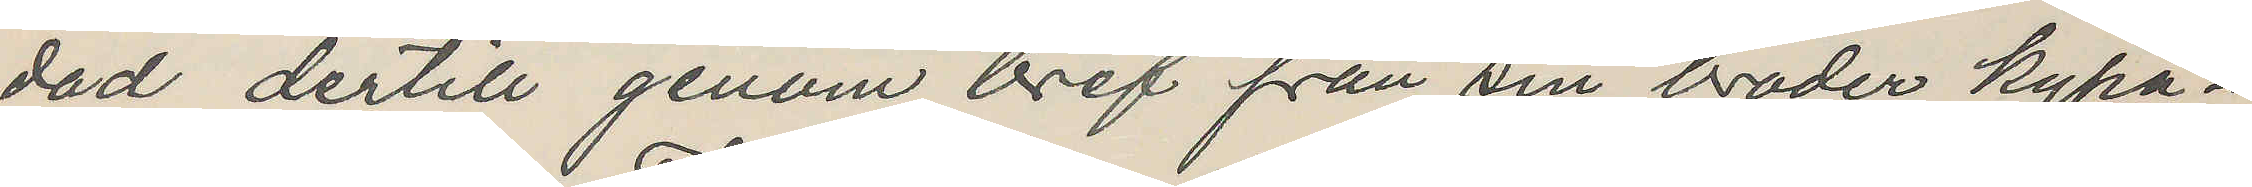dad dertill genom bref från sin broder kypa¬
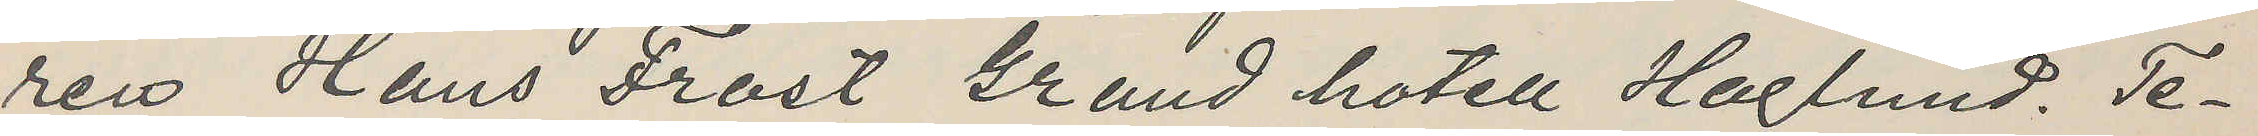ren Hans Frost Grand hotell Haglund. Te¬
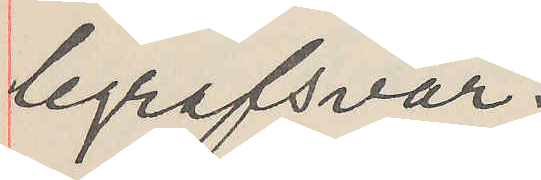legrafsvar.
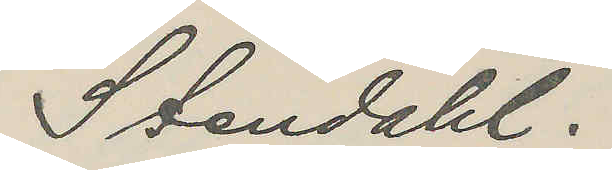Stendahl.
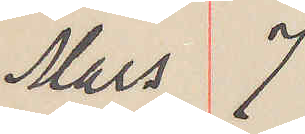Mars 7
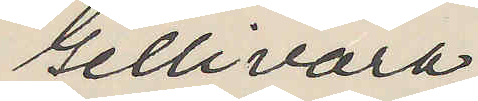Gellivara
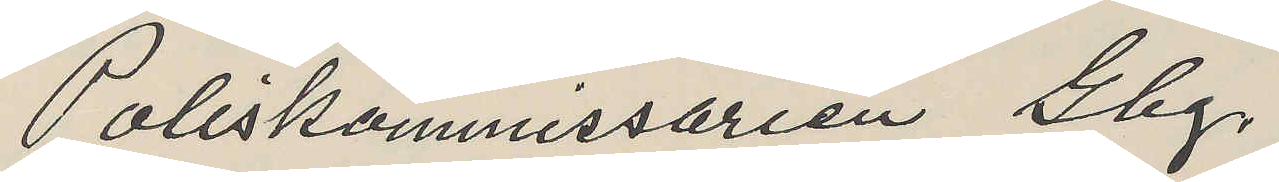Poliskommissarien Gbg.
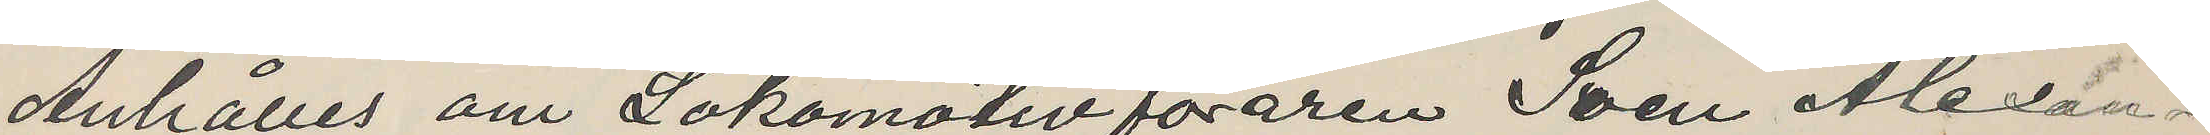Anhålles om Lokomotivföraren Sven Alexan¬
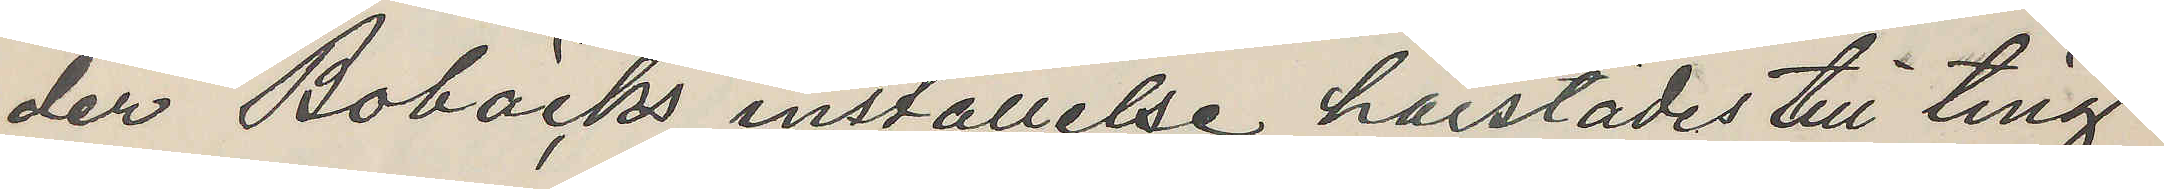der Bobäcks inställelse härstädes till ting
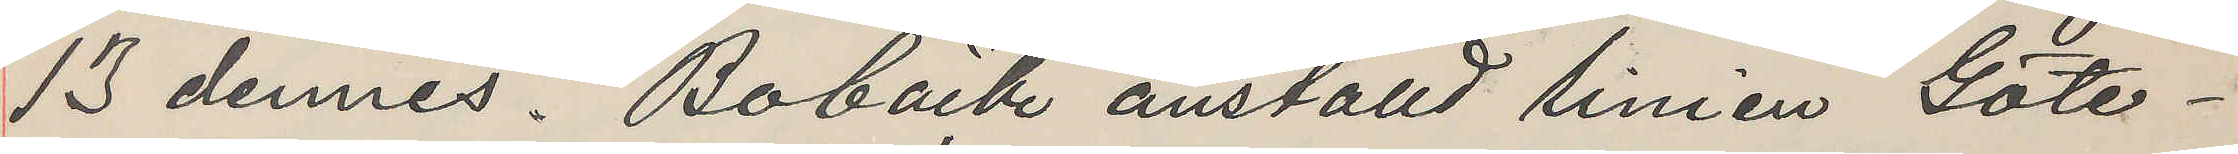13 dennes. Bobäck anställd linien Göte¬
